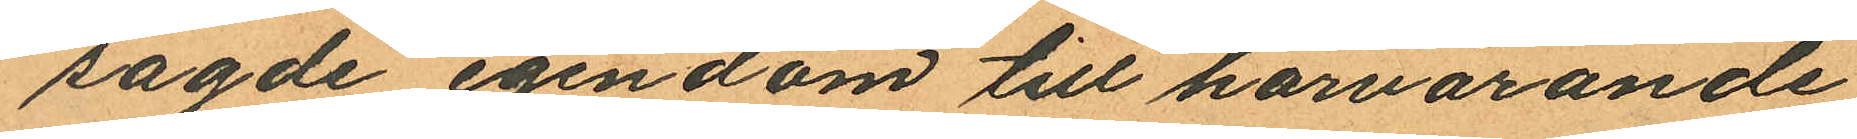sagde egendom till härvarande
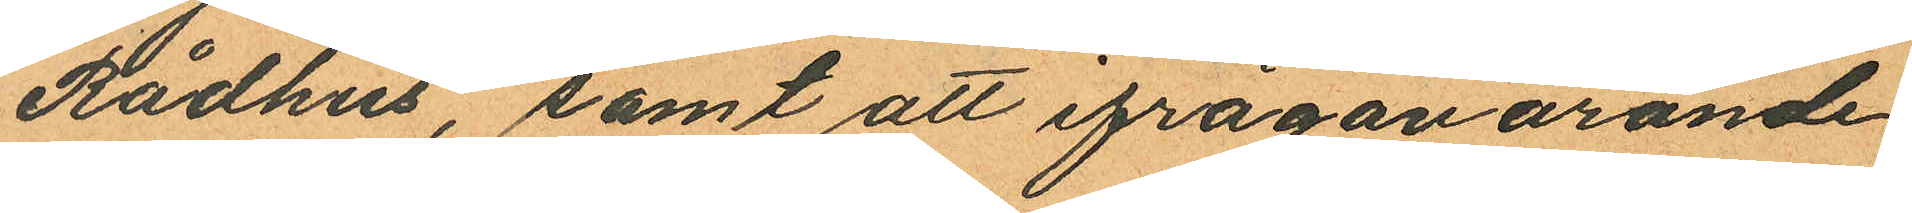Rådhus, samt att ifrågavarande
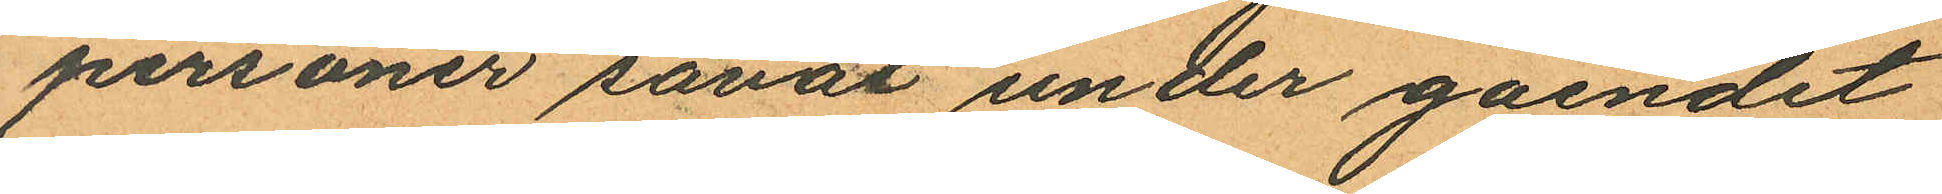personer såväl under gåendet
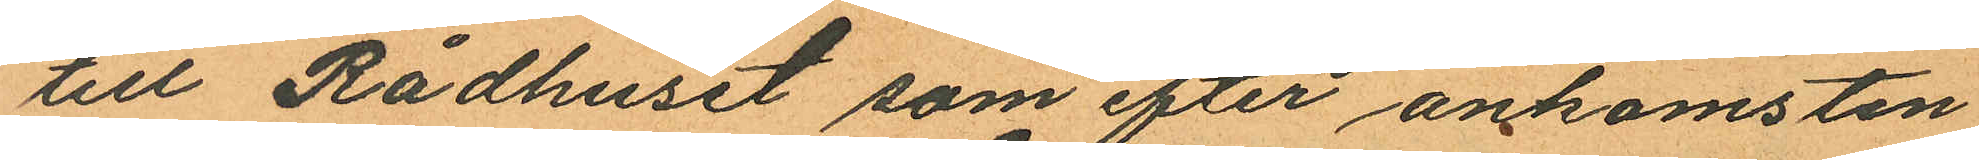till Rådhuset som efter ankomsten
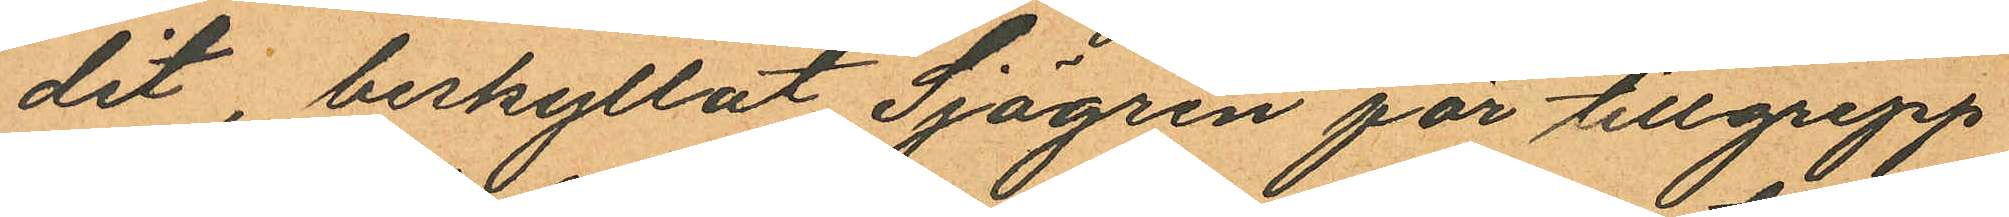dit, beskyllat Sjögren för tillgrepp
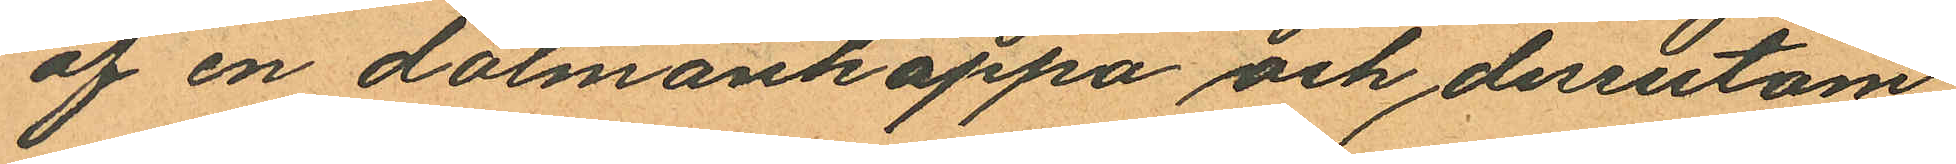af en dolmankappa och dessutom
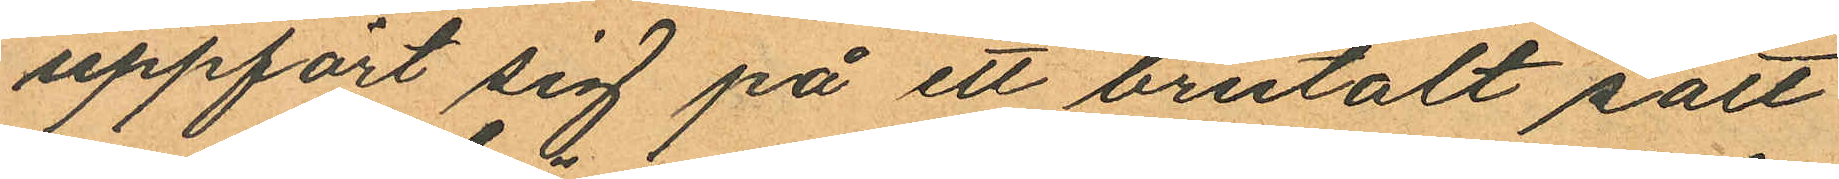uppfört sig på ett brutalt sätt
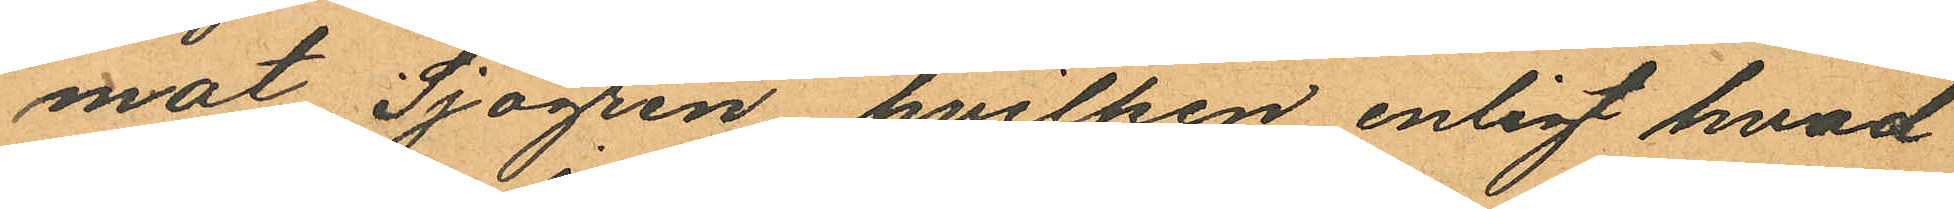mot Sjögren hvilken enligt hvad
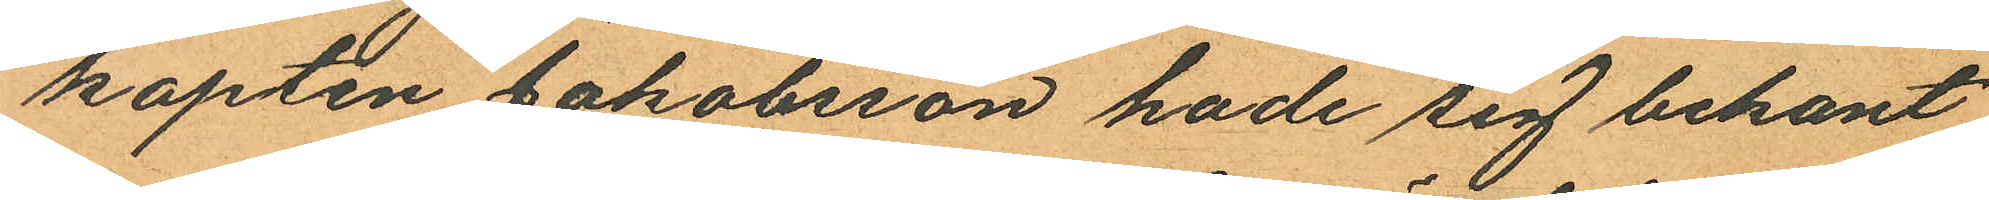kapten Jakobsson hade sig bekant
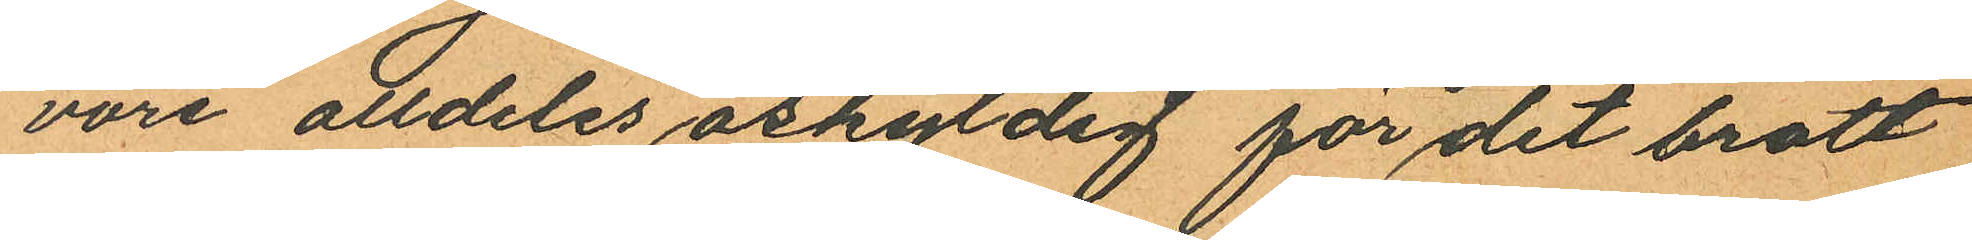vore alldeles oskyldig för det brott
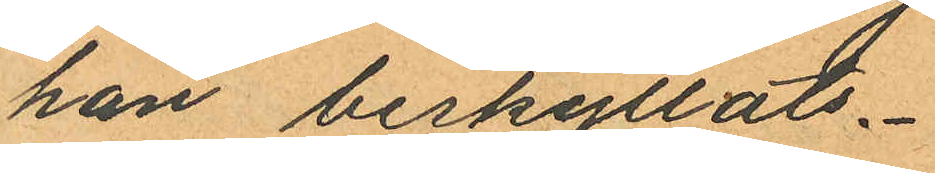han beskyllats.
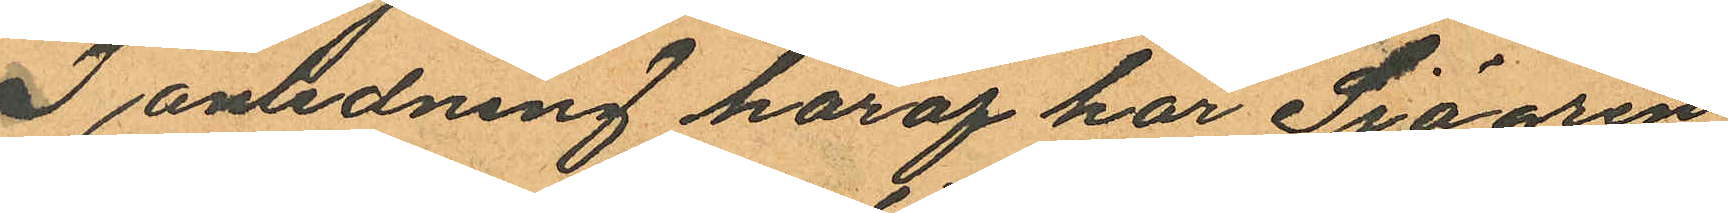I anledning häraf har Sjögren
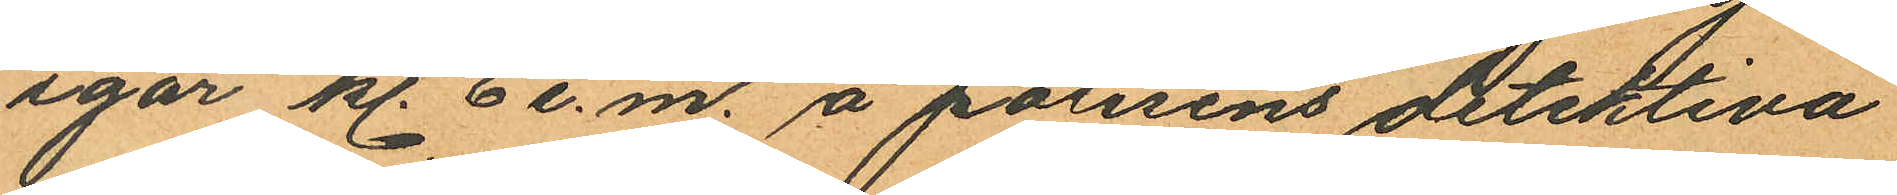igår kl. 6 e.m. å polisens detektiva
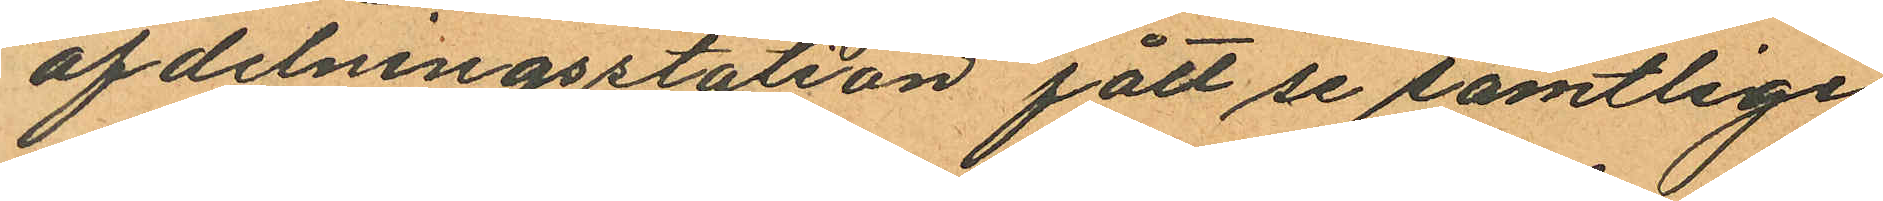afdelningsstation fått se samtlige
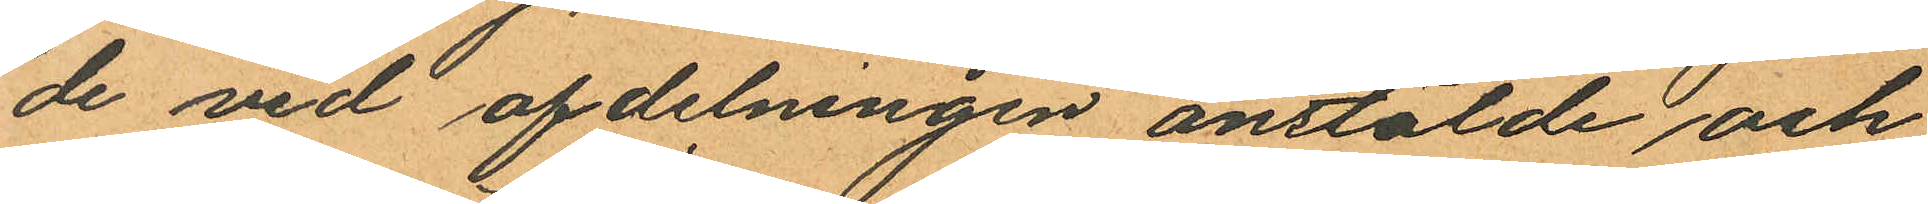de vid afdelningen anstälde och
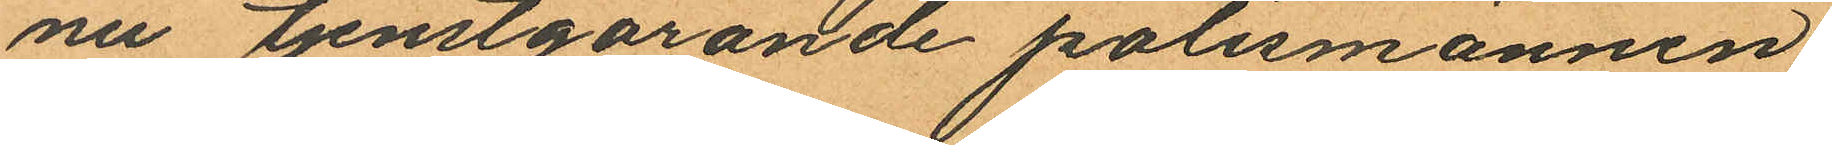nu tjenstgörande polismännen
